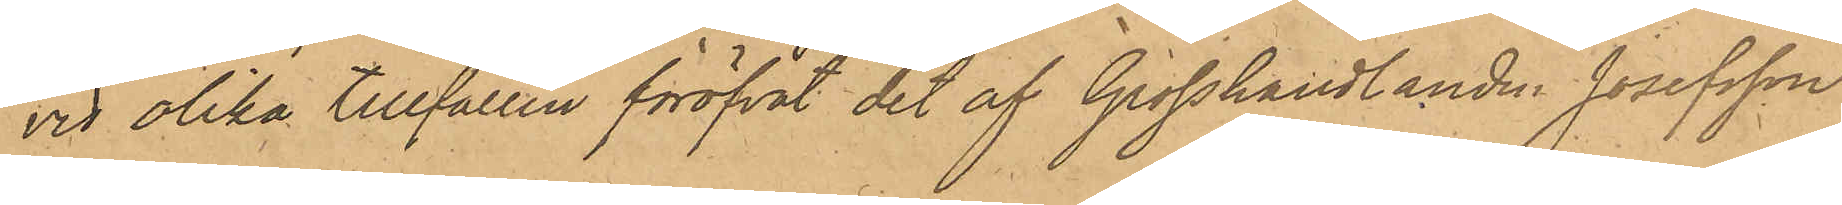vid olika tillfällen föröfvat det af Grosshandlanden Josefsson
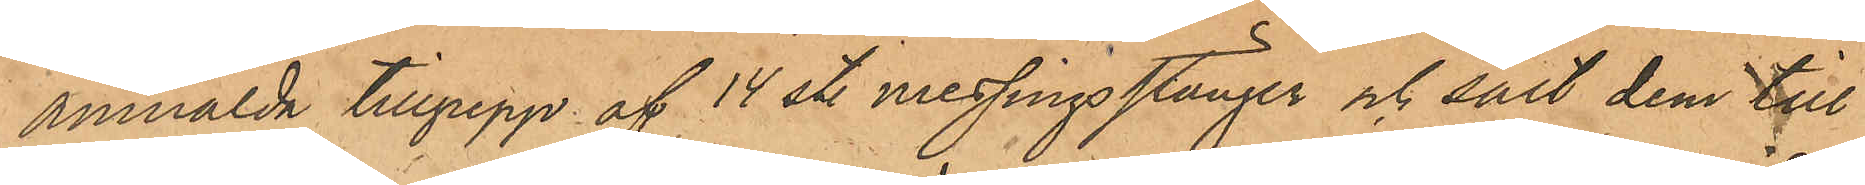anmälda tillgrepp af 14 st. messingsstänger och sålt dem till
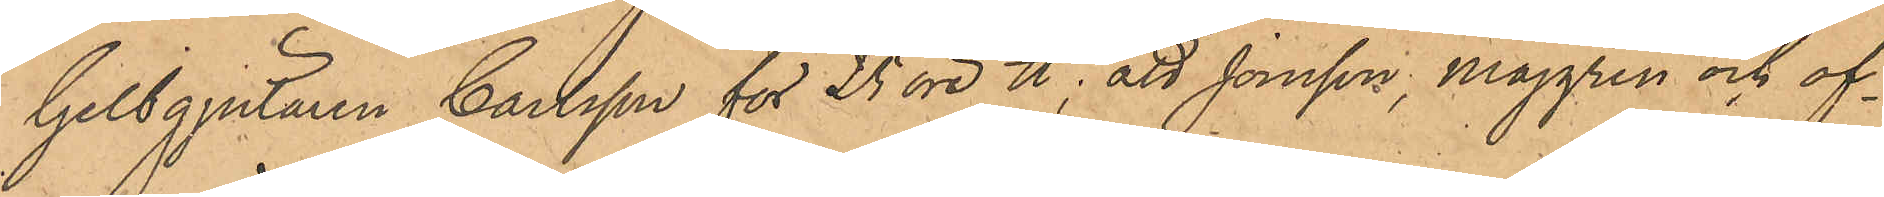Gelbgjutaren Carlsson för 25 öre ℔; att Jonsson, Majgren och of¬
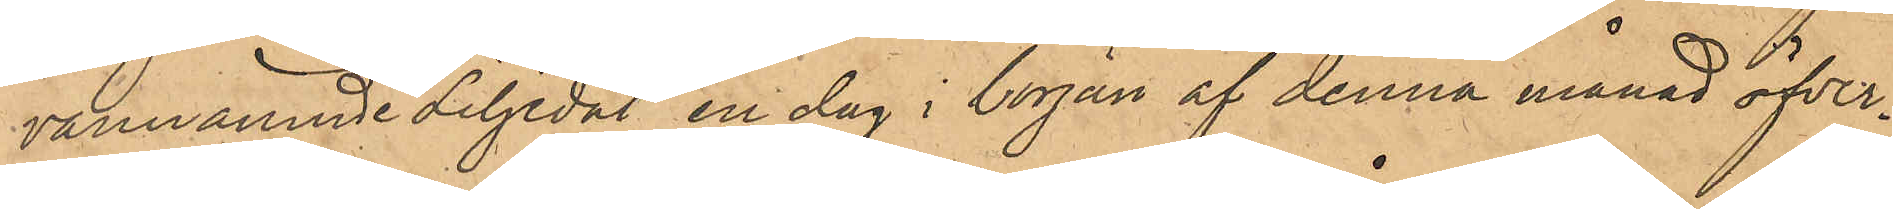vannämnde Liljedal en dag i början af denna månad öfver¬
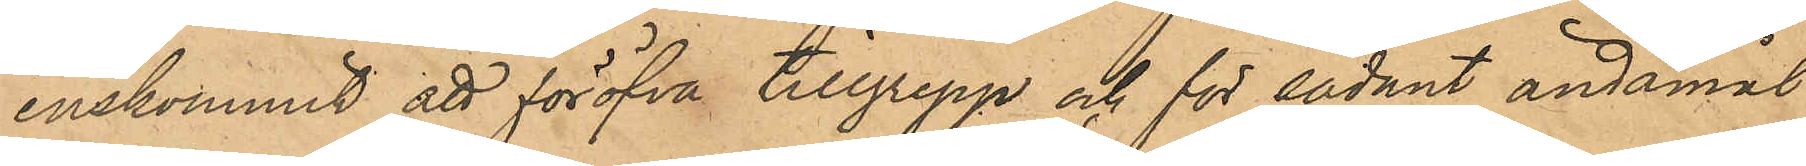enskommit att föröfva tillgrepp och för sådant ändamål
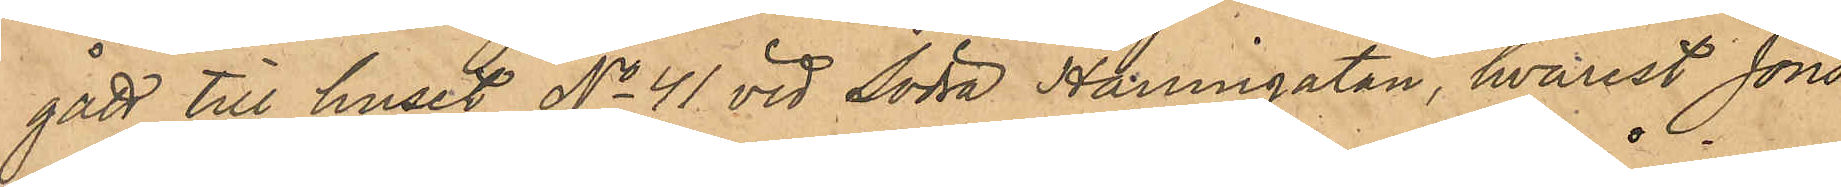gått till huset No 41 vid Södra Hamngatan, hvarest Jons¬
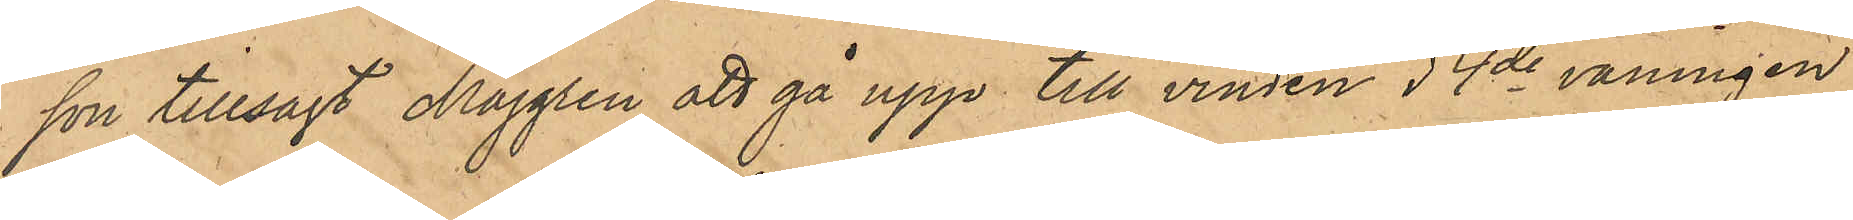son tillsagt Majgren att gå upp till vinden i 4de våningen
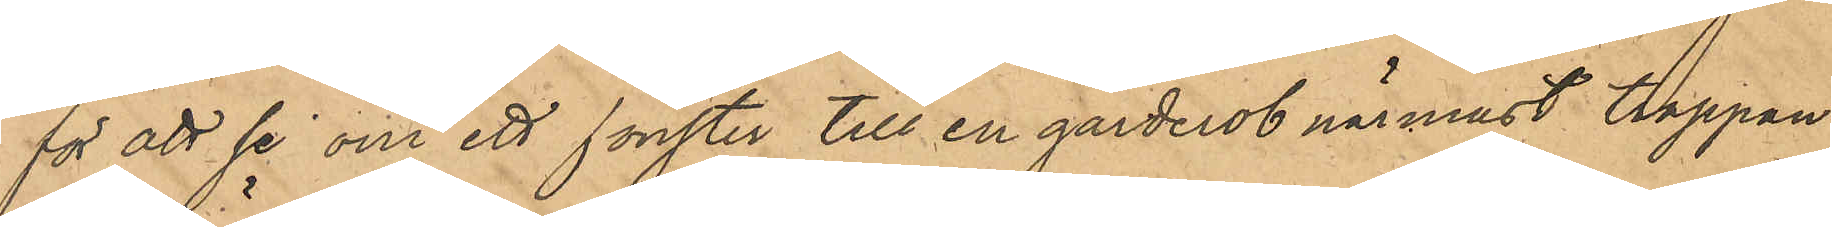för att se om ett fönster till en garderob närmast trappan
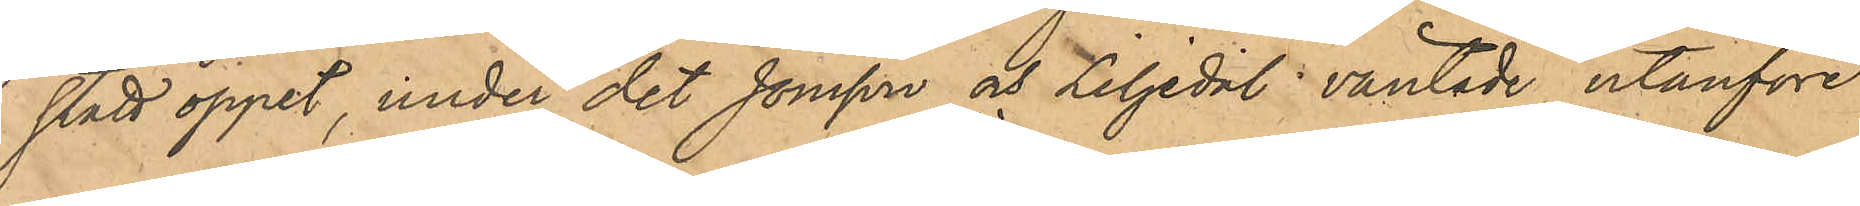stått öppet, under det Jonsson och Liljedal väntade utanföre
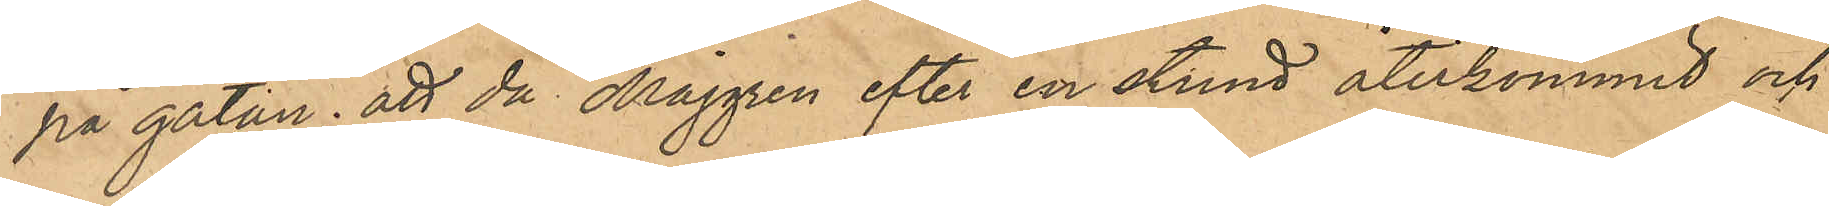på gatan; att då Majgren efter en stund återkommit och 
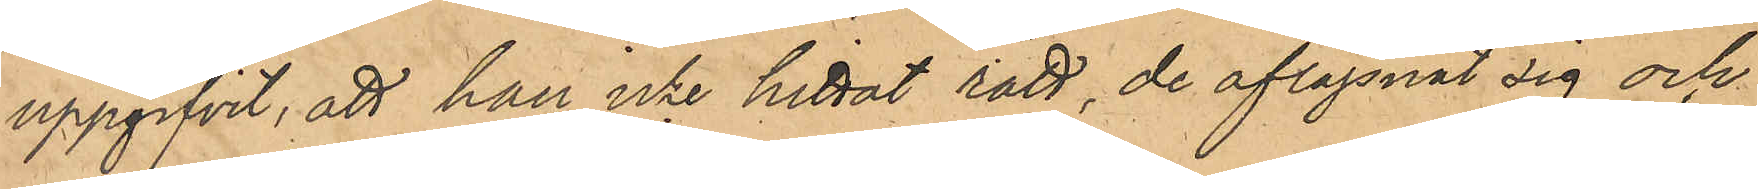uppgifvit, att han icke hittat rätt, de aflägsnat sig och
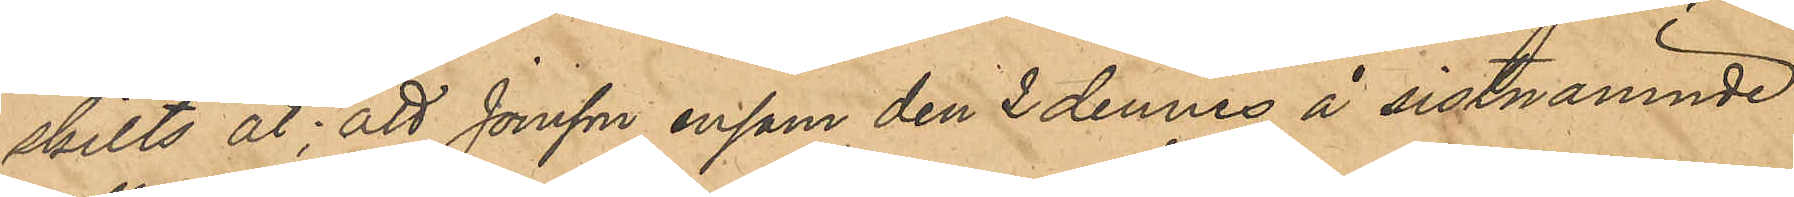skilts åt; att Jonsson ensam den 2 dennes å sistnämnde
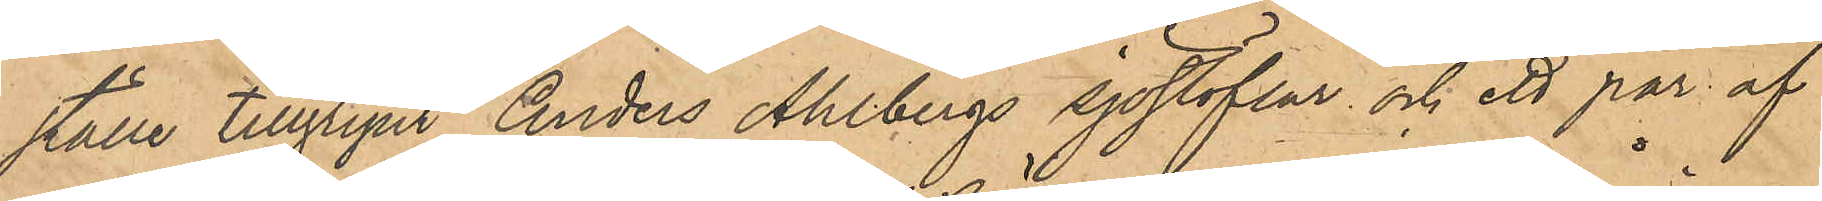ställe tillgripit Anders Ahlbergs sjöstöflar och ett par af
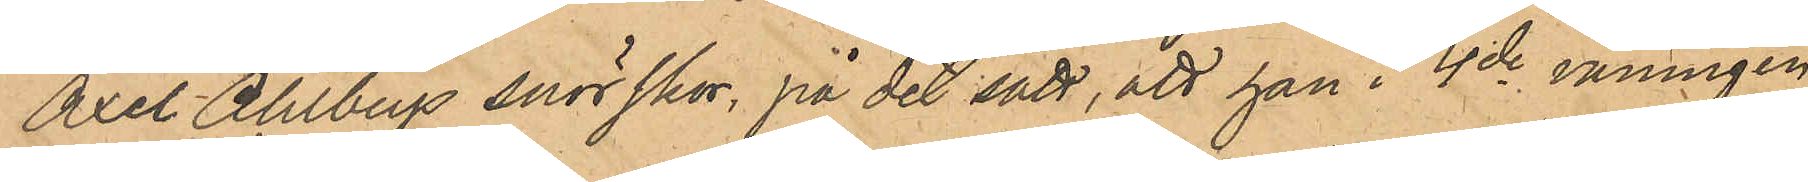Axel Ahlbergs snörskor på det sätt, att han i 4de våningen
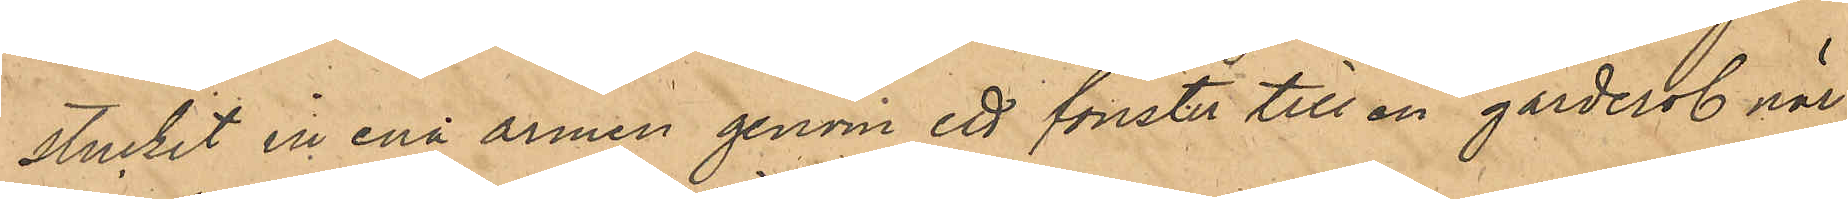stuckit in ena armen genom ett fönster till en garderob när¬
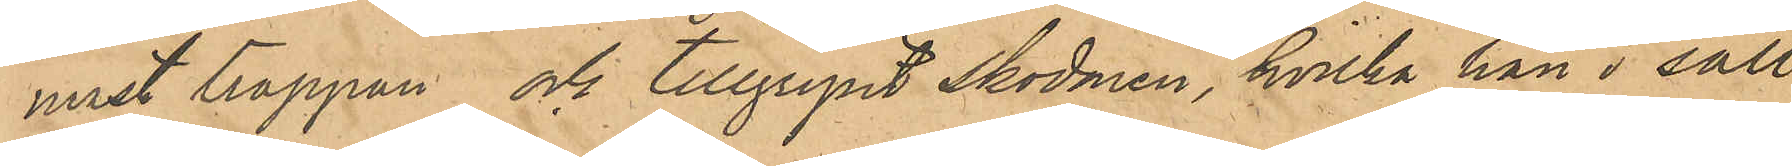mast trappan och tillgripit skodonen, hvilka han i säll¬
